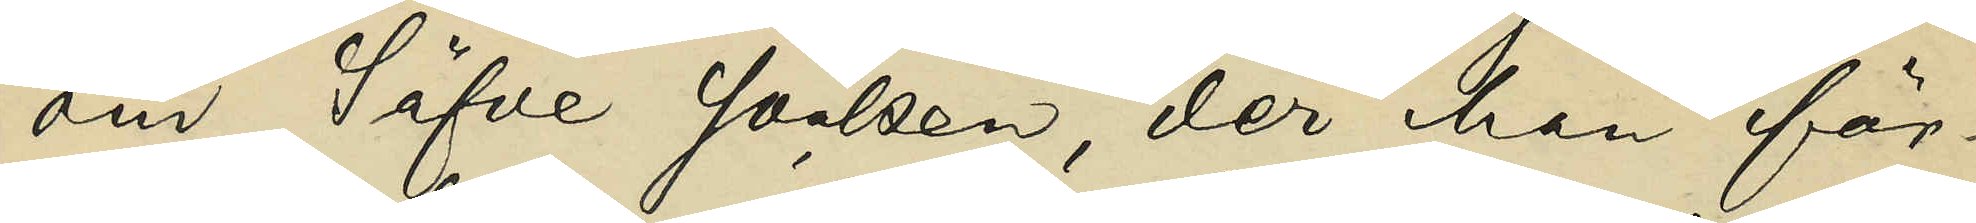om Säfve socken, der han för¬
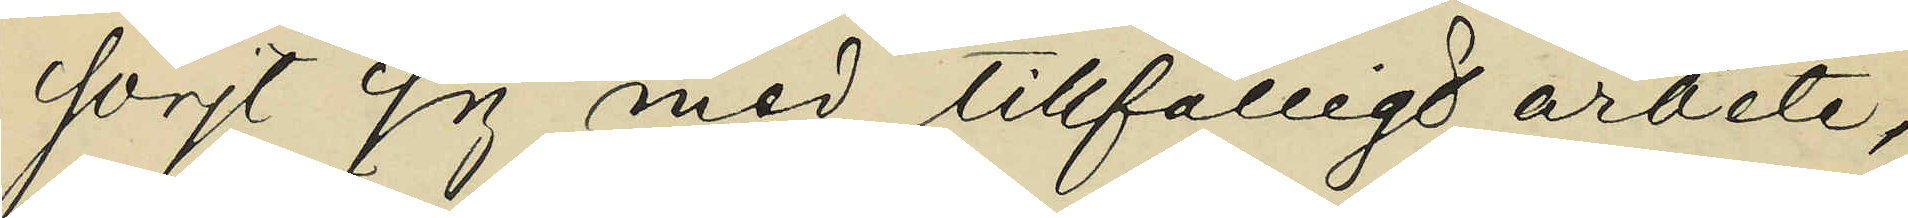sörjt sig med tillfälligt arbete,
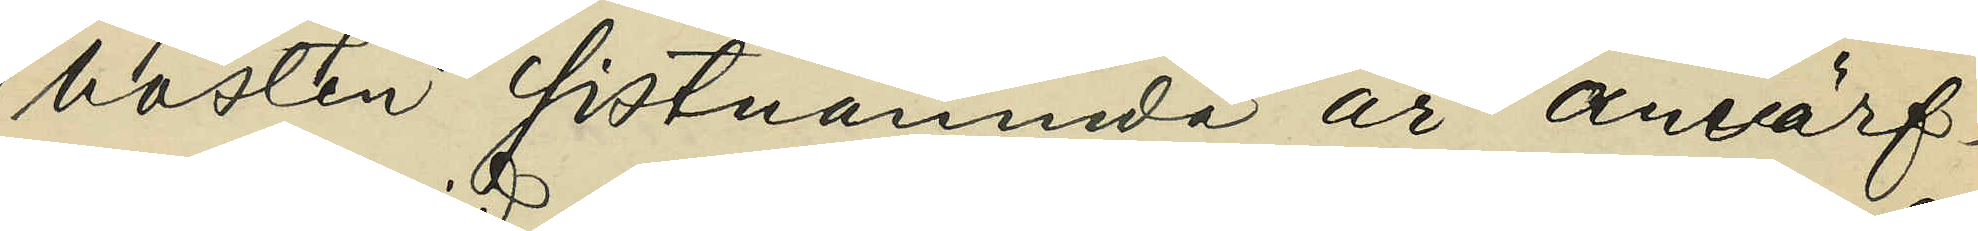hösten sistnämnda år anvärf¬
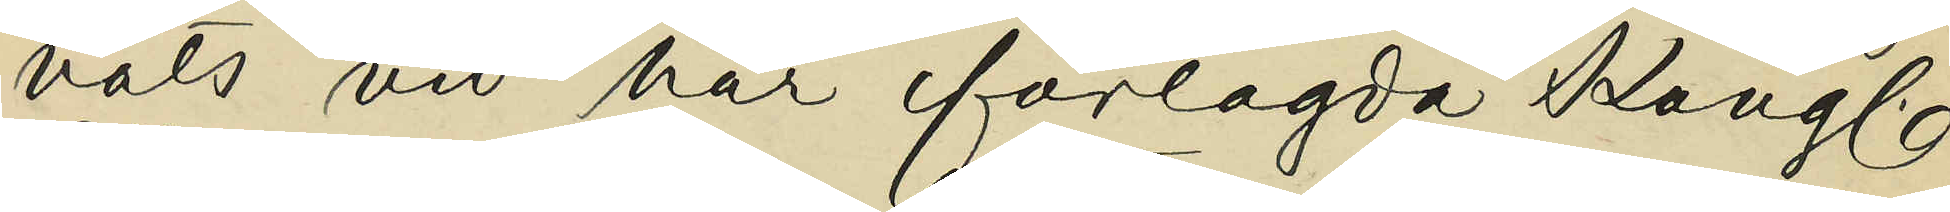vats vid här förelagda Kongl.
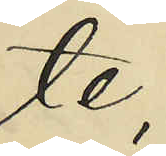te;
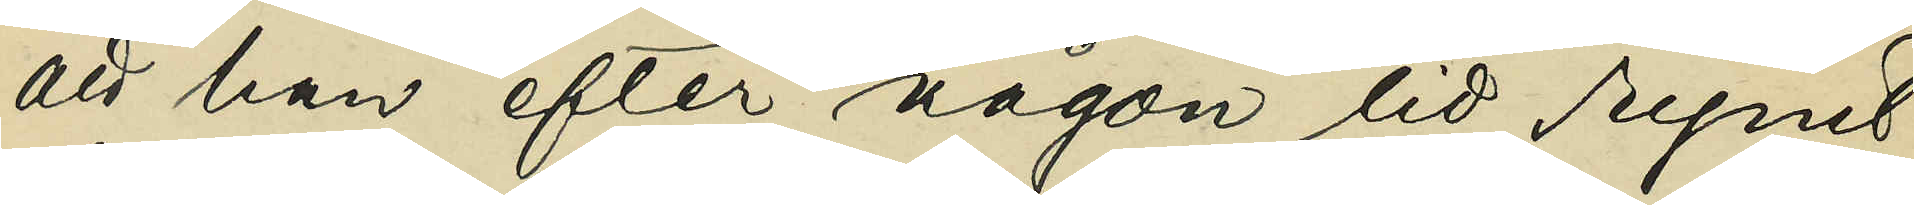att han efter någon tid rymt
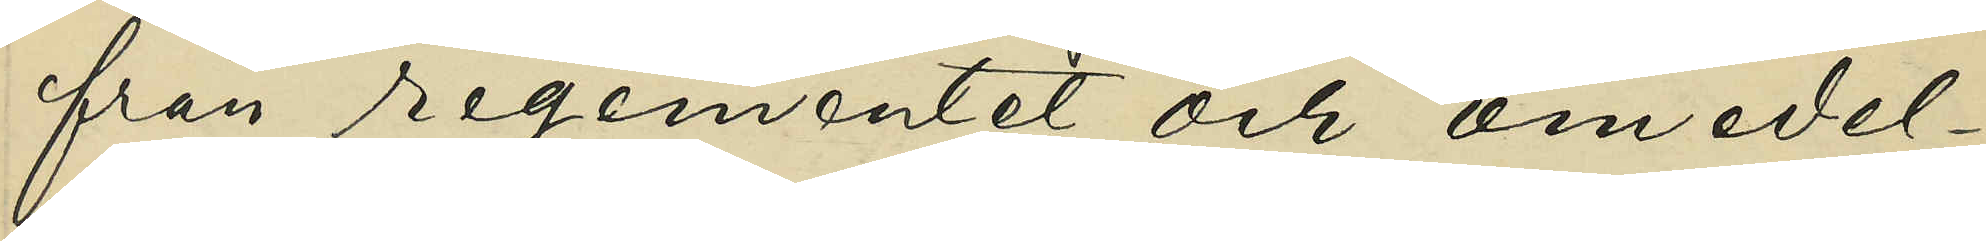från regementet och omedel¬
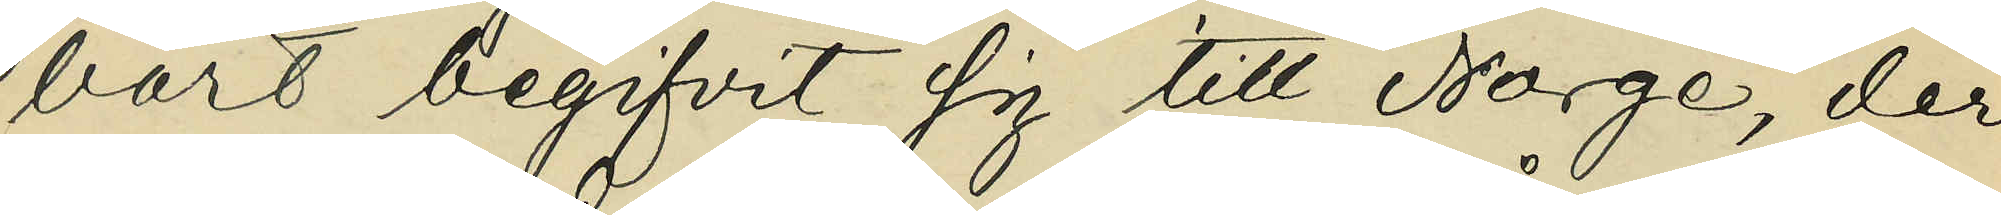bart begifvit sig till Norge, der
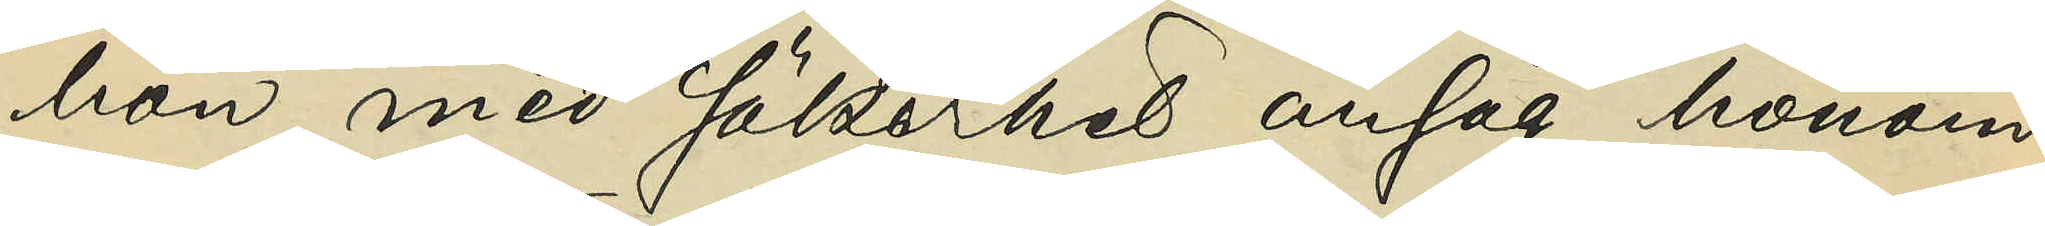hon med säkerhet ansåg honom
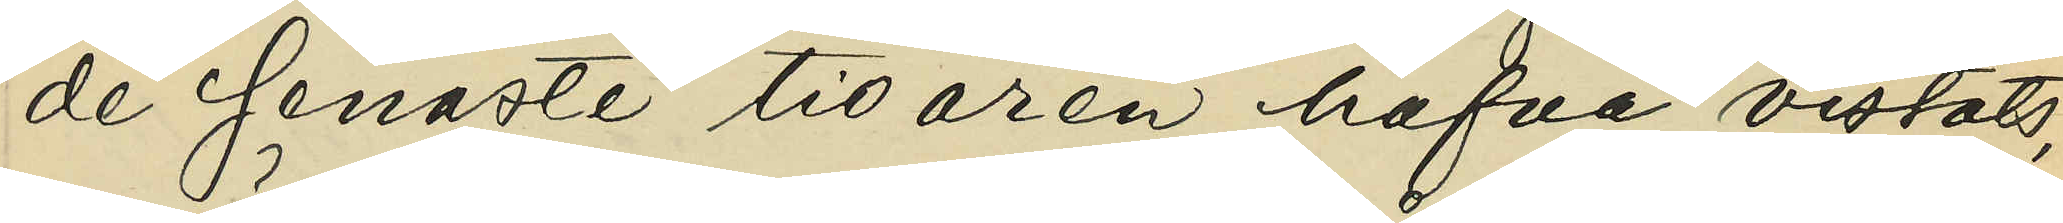de senaste tio åren hafva vistats,
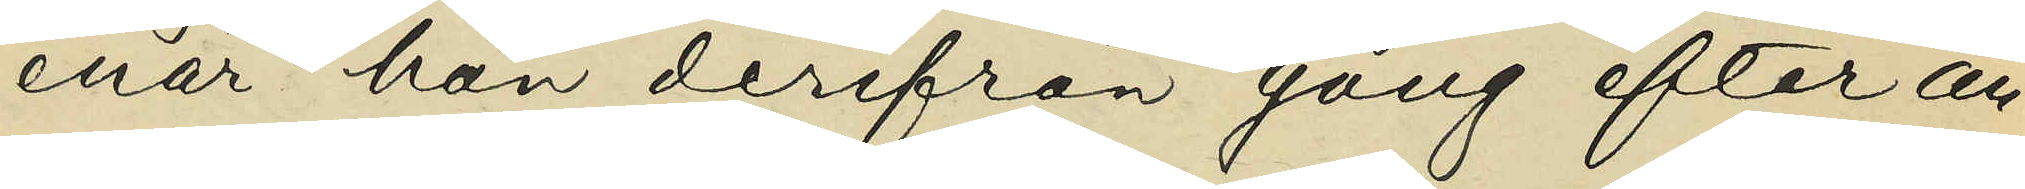enär han derifrån gång efter an¬
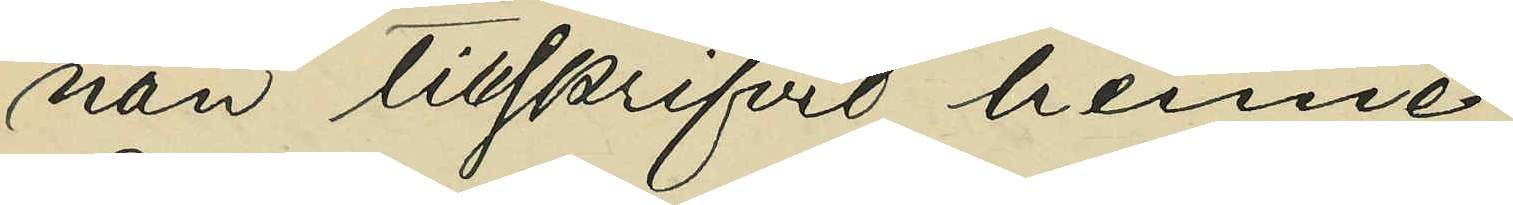nan tillskrifvit henne;
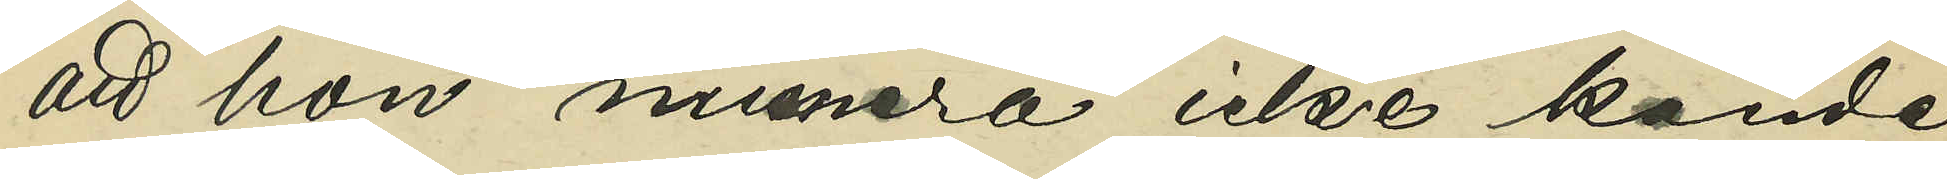att hon numera icke kände
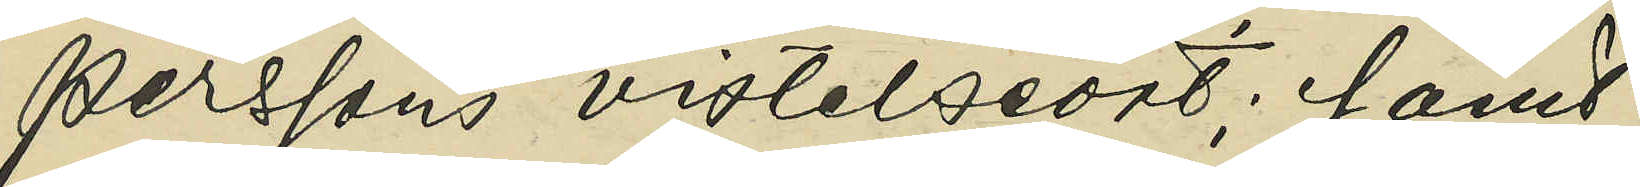Perssons vistelseort; samt 
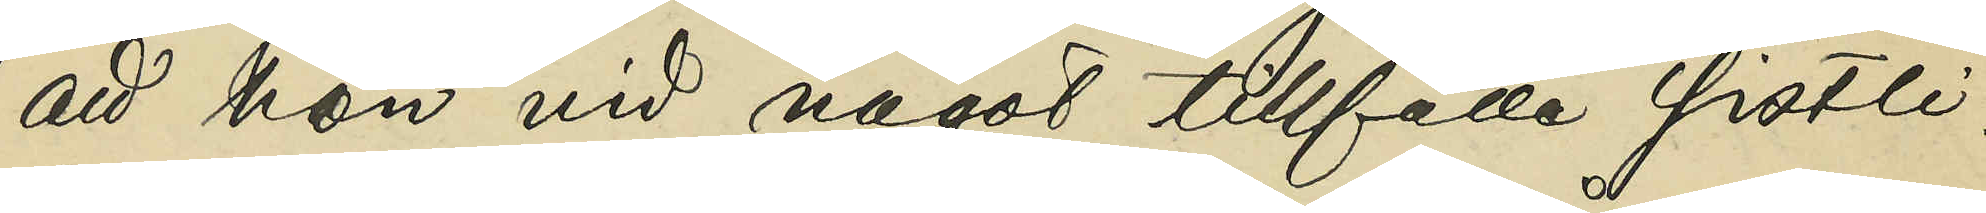att hon vid något tillfälle sistli¬
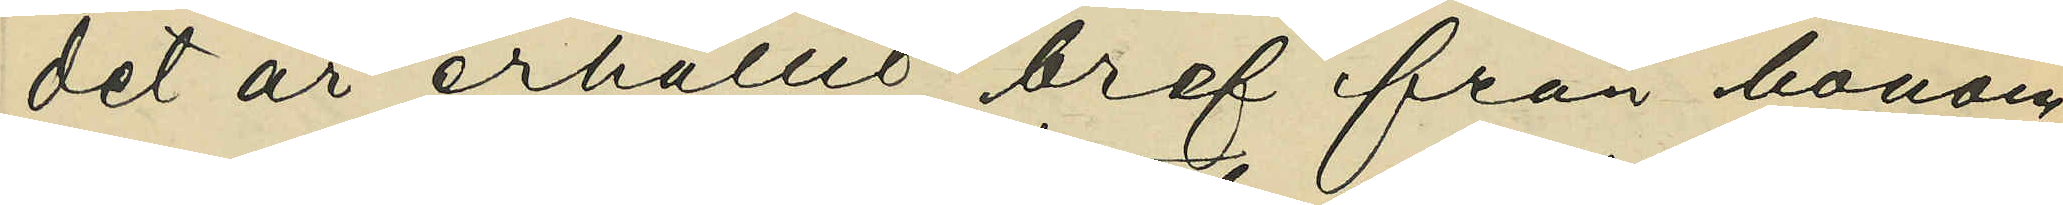det år erhållit bref från honom,
